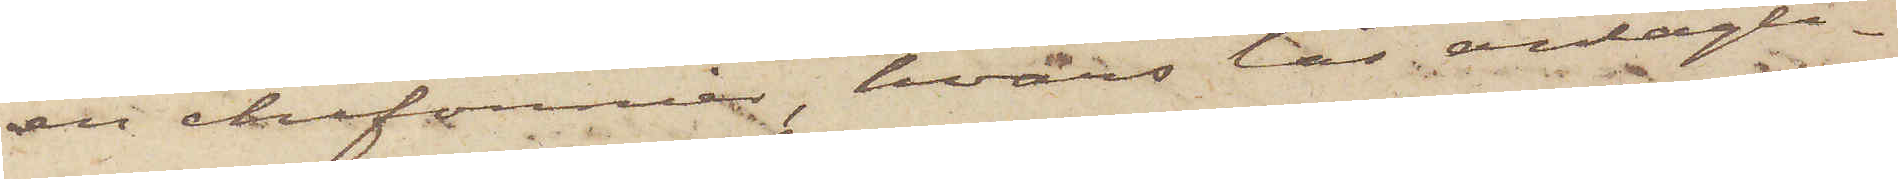en chifonnier, hvars lås antagli¬
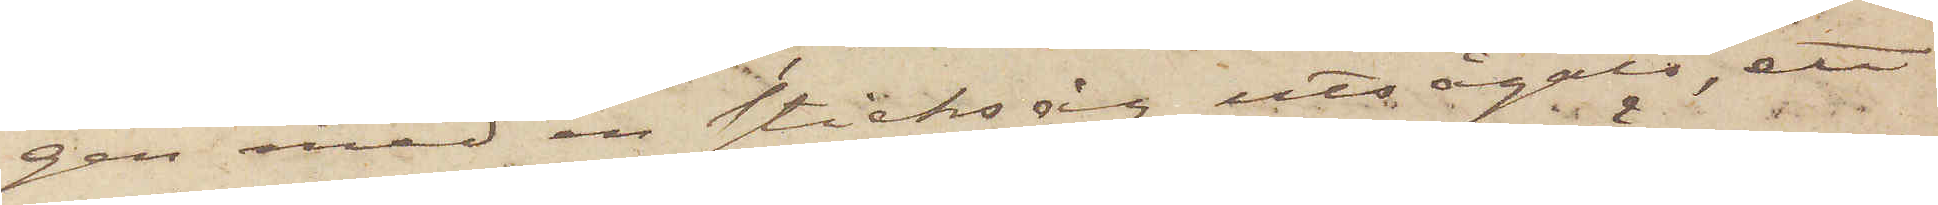gen med en sticksåg utsågats, ett
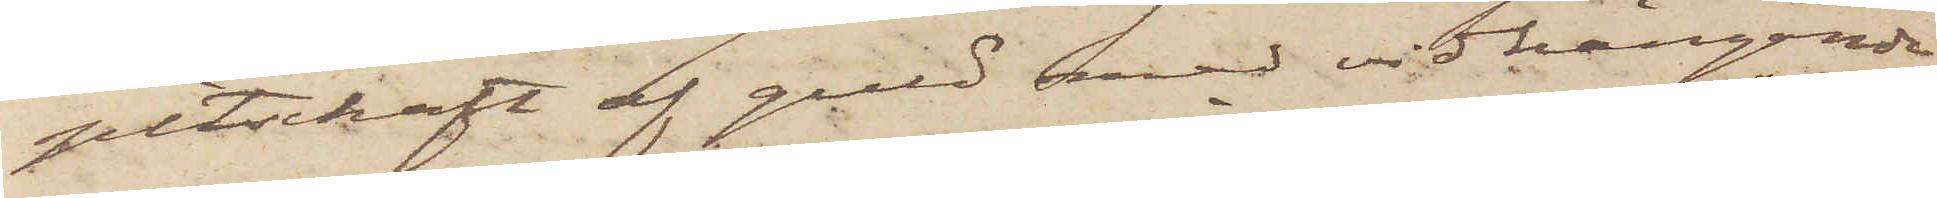pitschaft af guld med vidhängande
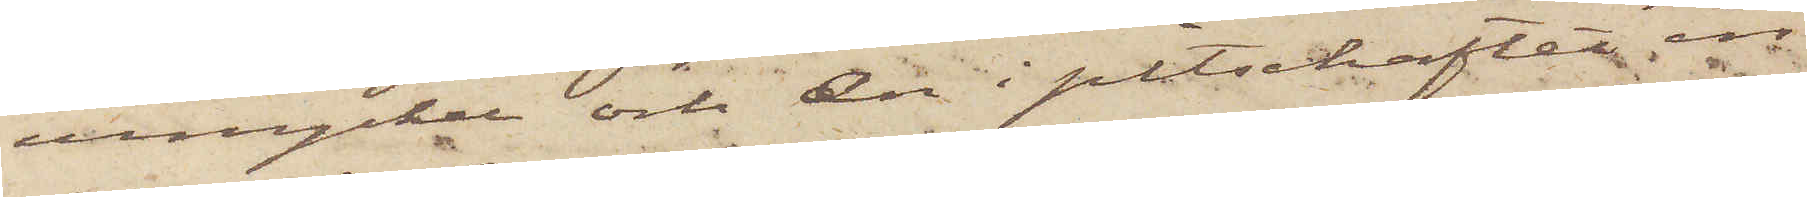urnyckel och en i pitschaftet in¬
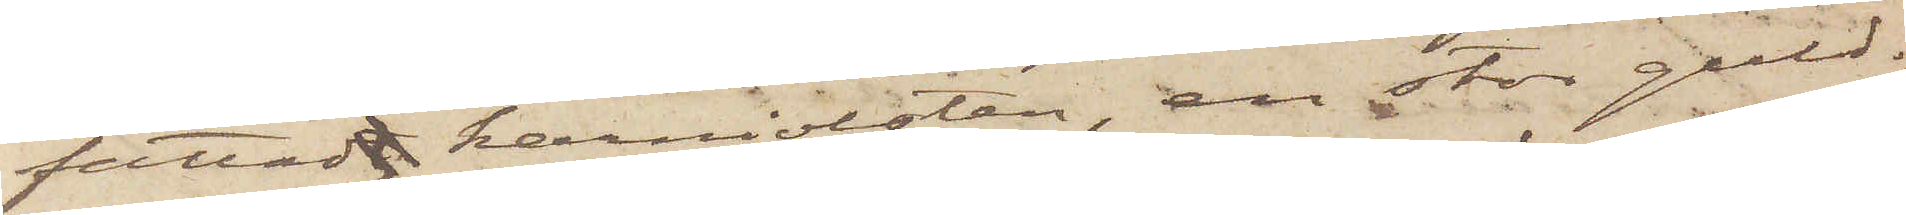fattadt karniolsten, en stor guld¬
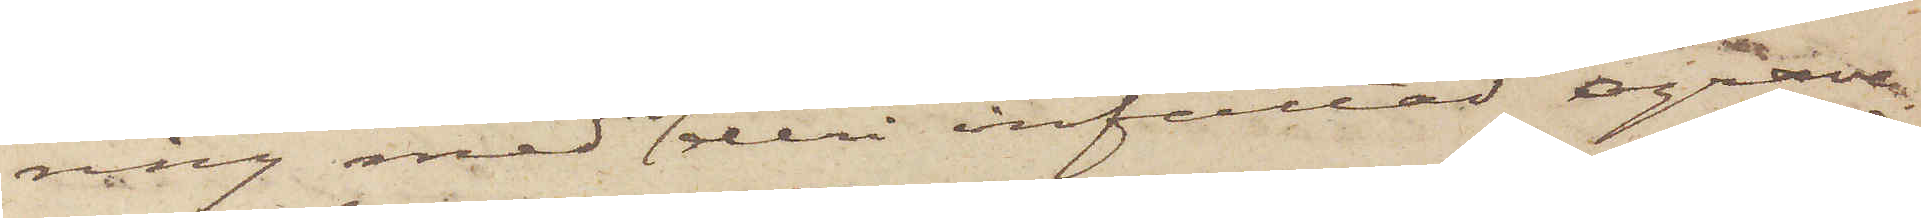ring med en deri infattad ograve¬
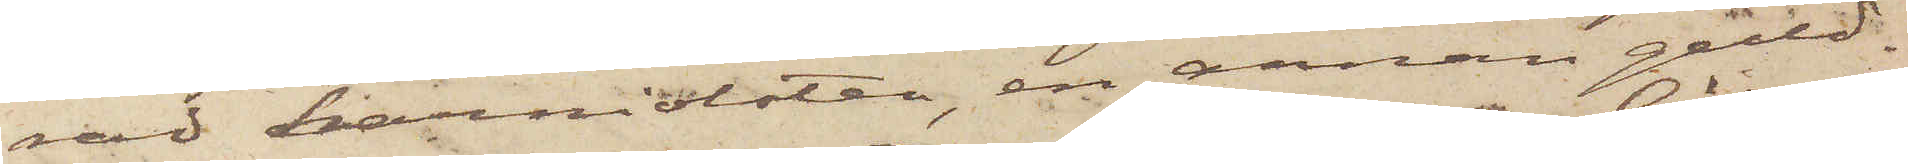rad karniolsten, en annan guld¬
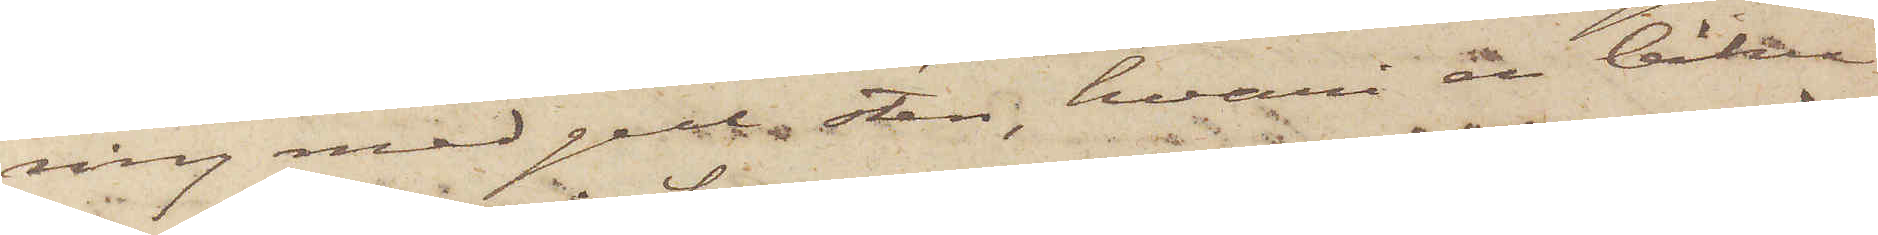ring med gul sten, hvari en biku¬
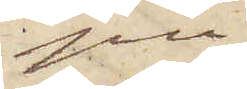pa
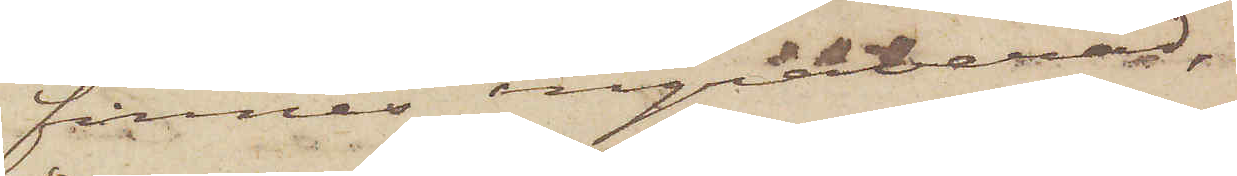finnes ingraverad,
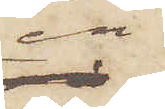en
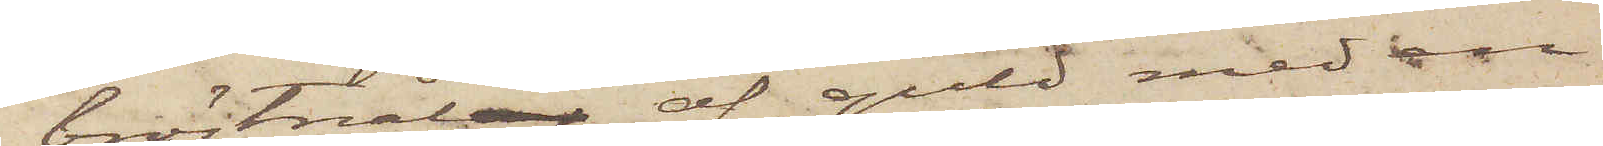bröstnålar af guld med en
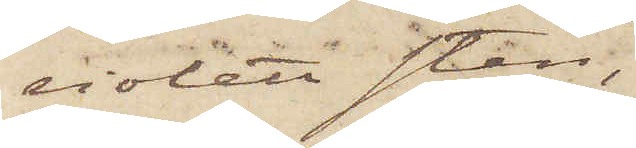violett sten,
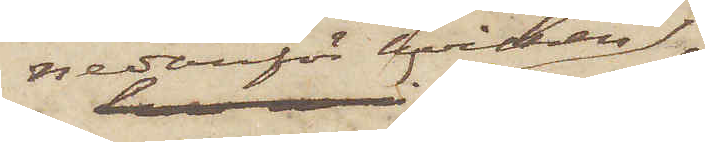nedanför hvilken
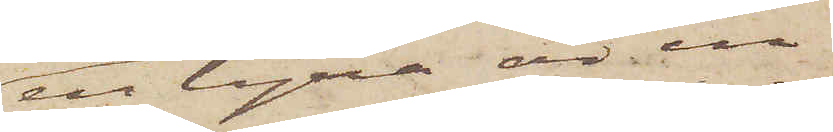en lyra är in¬
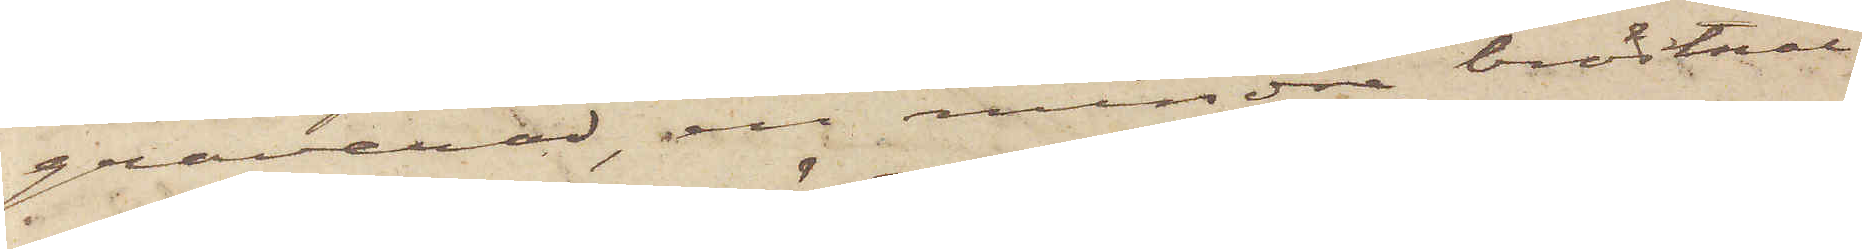graverad, en mindre bröstnål
